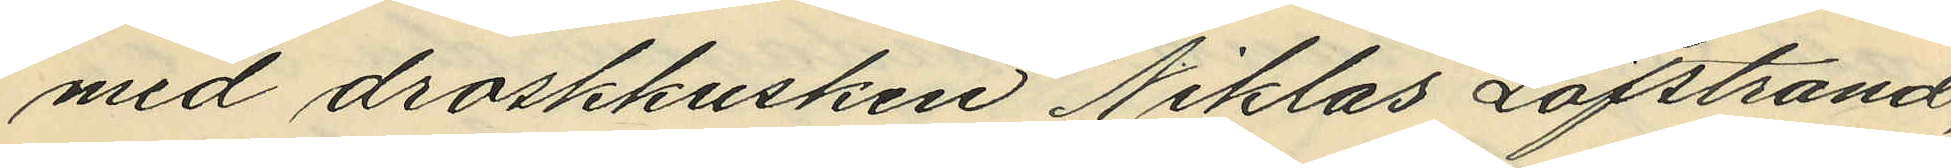med droskkusken Niklas Löfstrand,
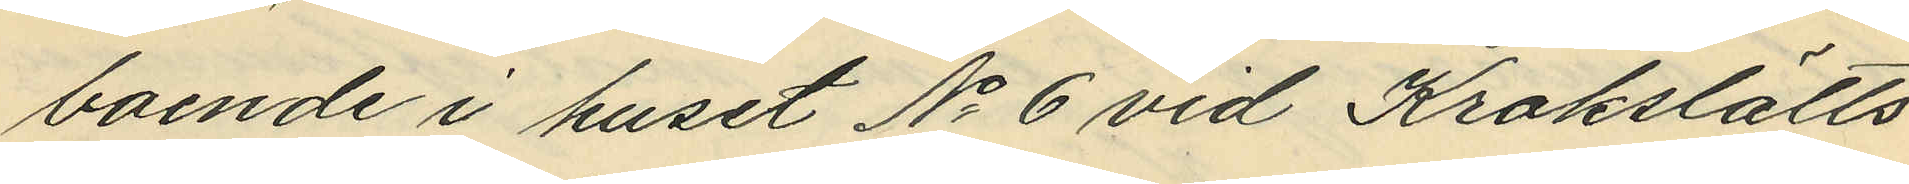boende i huset No 6 vid Krokslätts¬
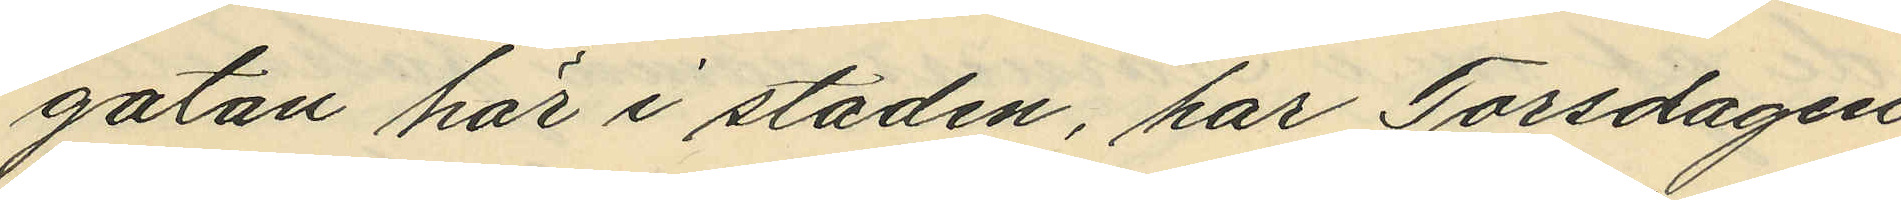gatan här i staden, har Torsdagen
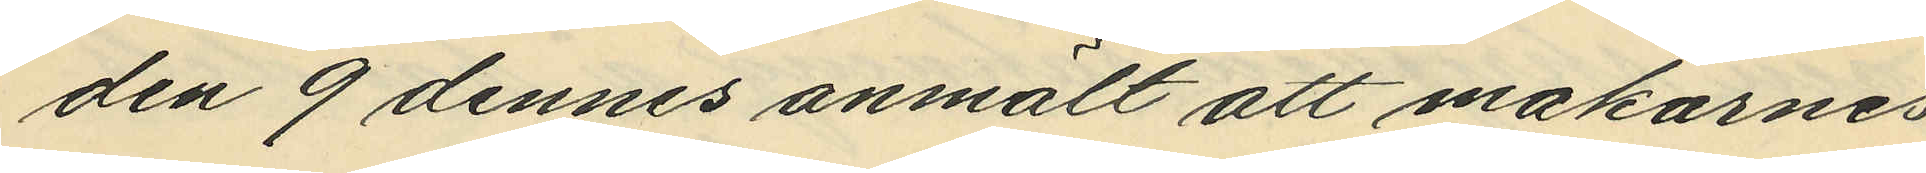den 9 dennes anmält att makarnes
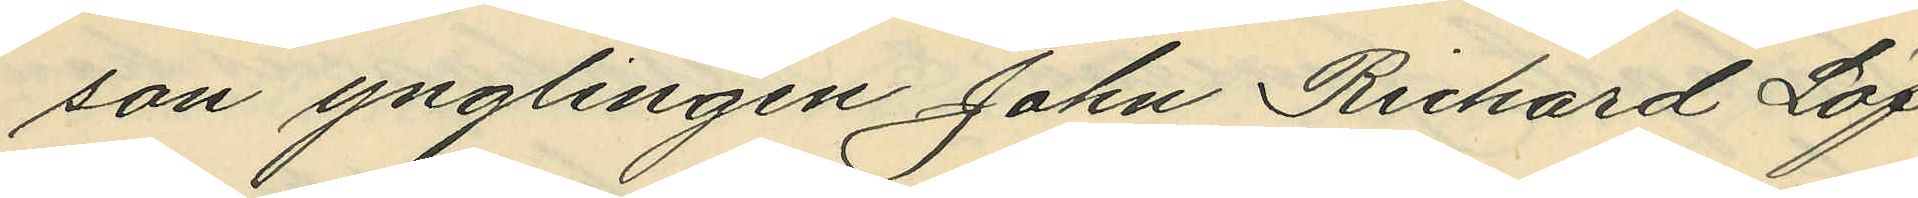son ynglingen John Richard Löf¬
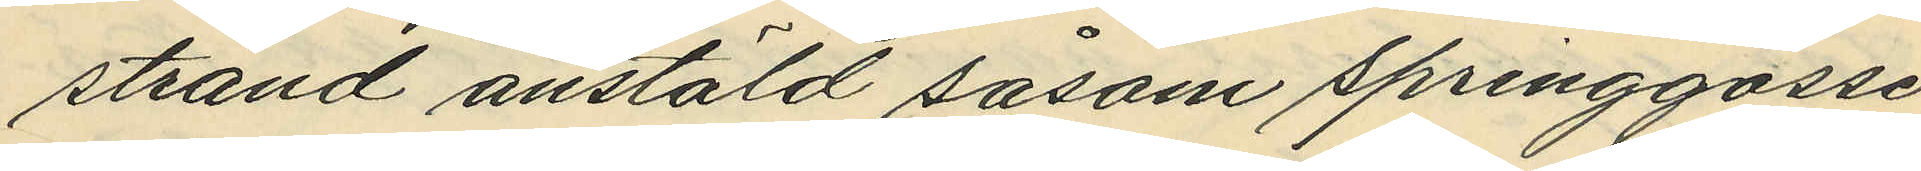strand anstäld såsom springgosse
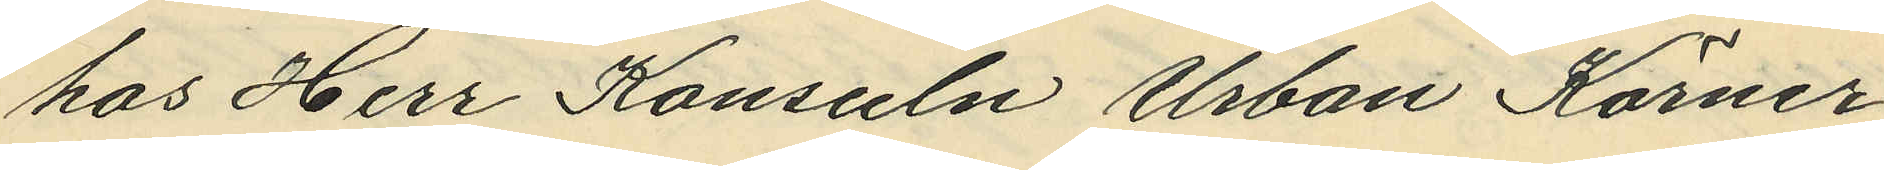hos Herr Konsuln Urban Körner
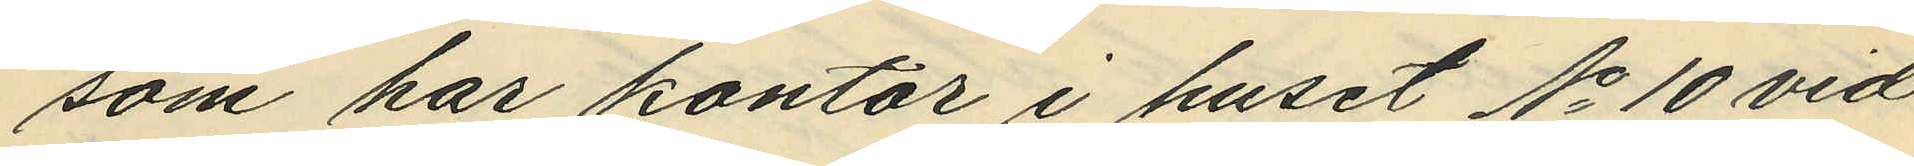som har kontor i huset No 10 vid
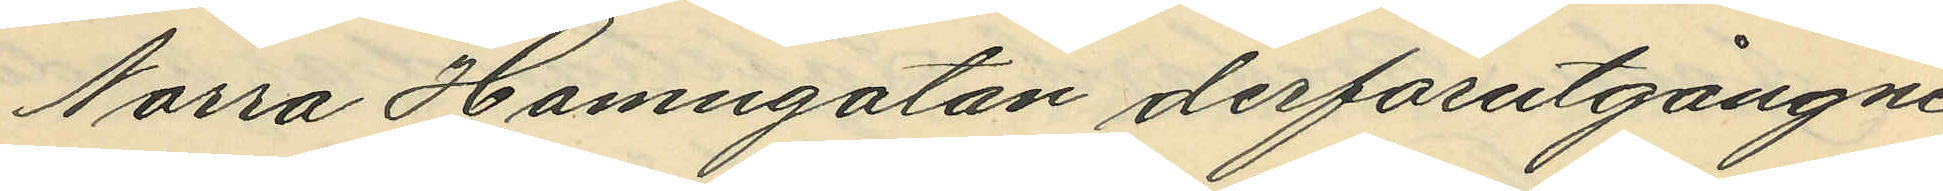Norra Hamngatan derförutgångne
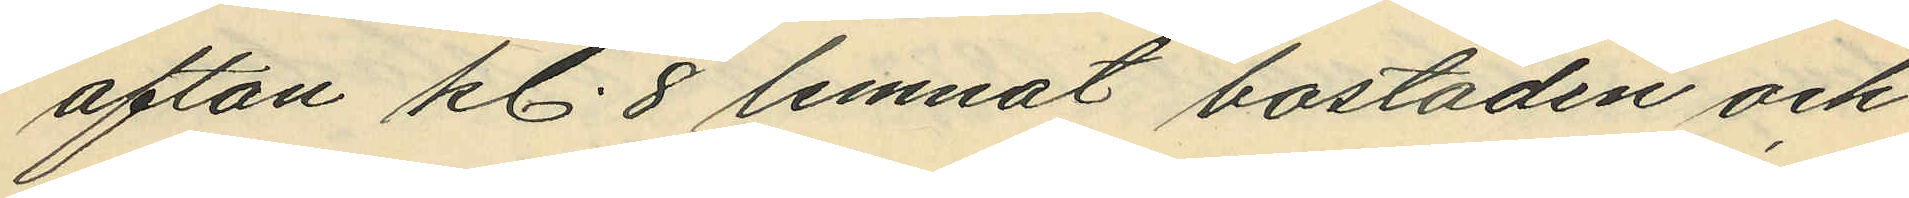afton kl. 8 lemnat bostaden och
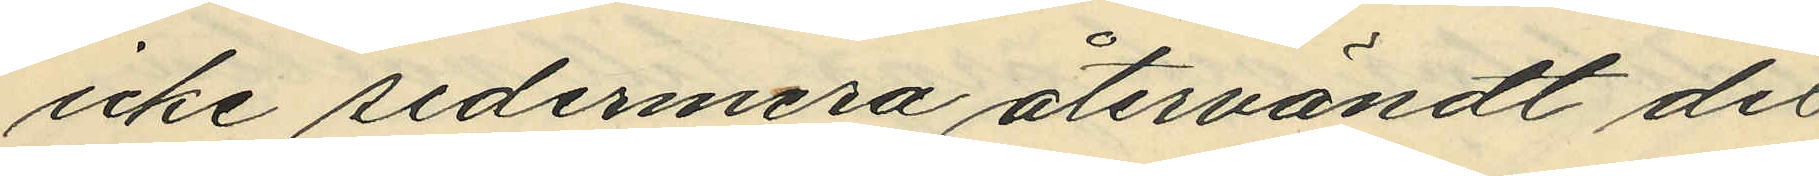icke sedermera återvändt dit
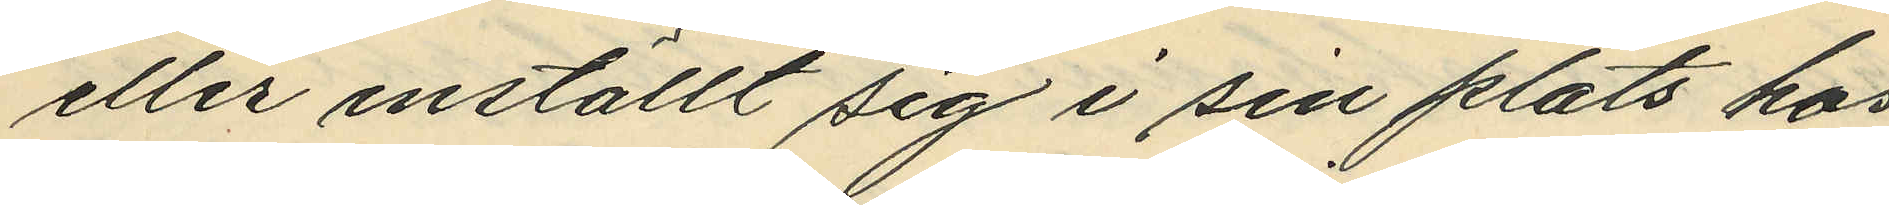eller inställt sig i sin plats hos
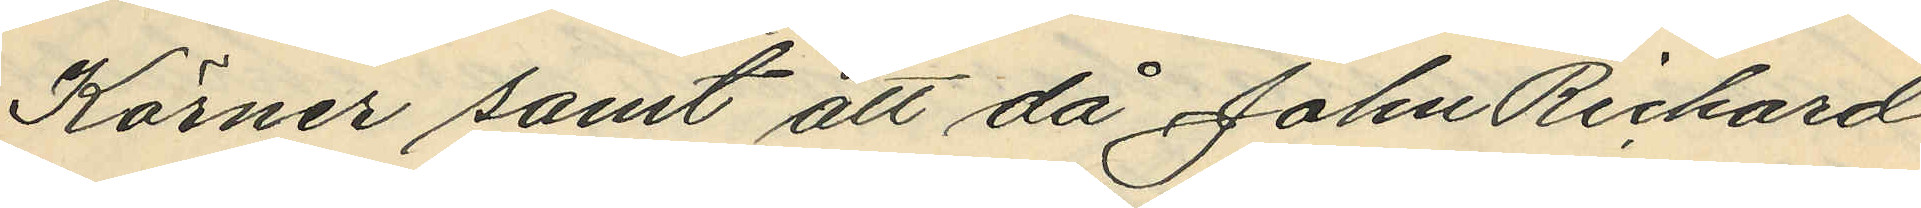Körner samt att då John Richard
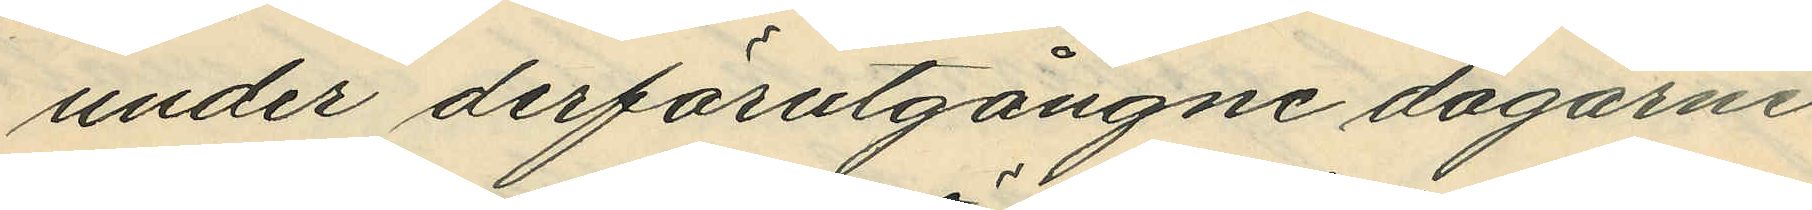under derförutgångne dagarne
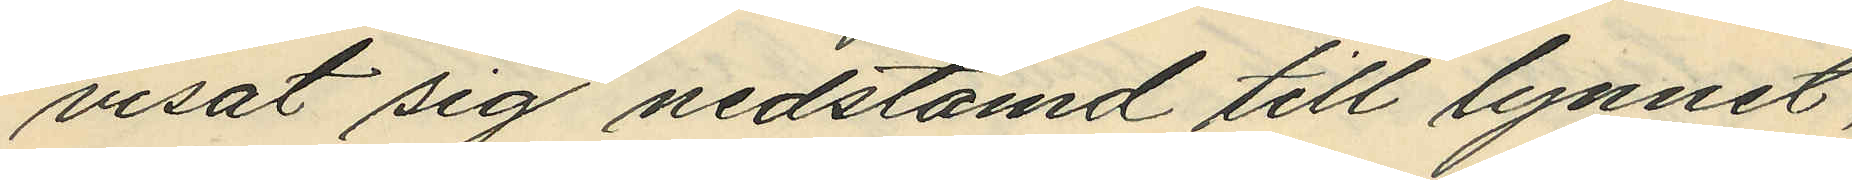visat sig nedstämd till lynnet,
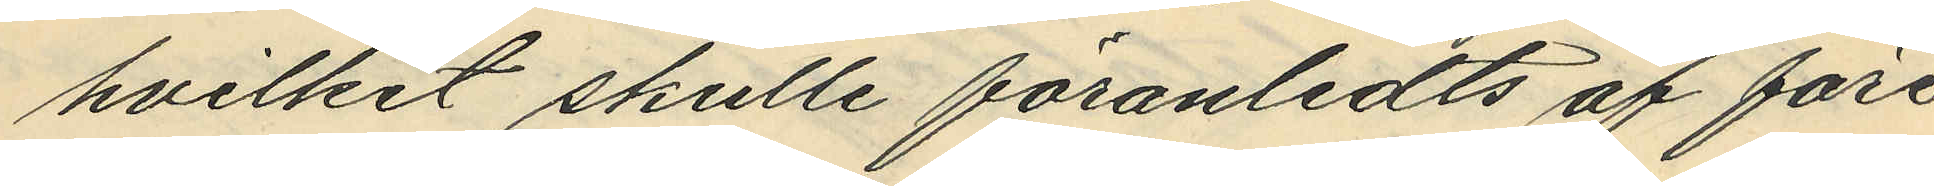hvilket skulle föranledts af före¬
